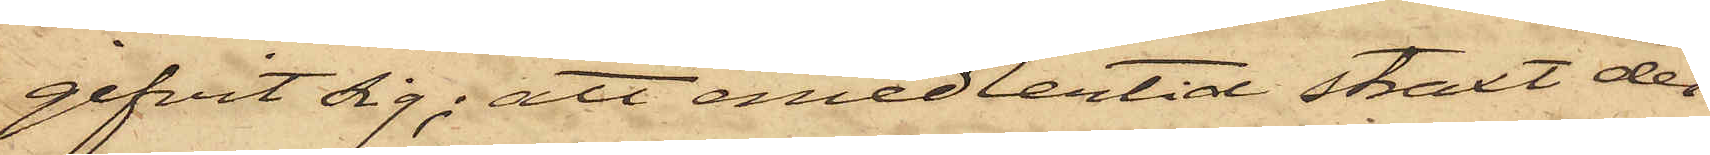gifvit sig; att emedlertid straxt der¬
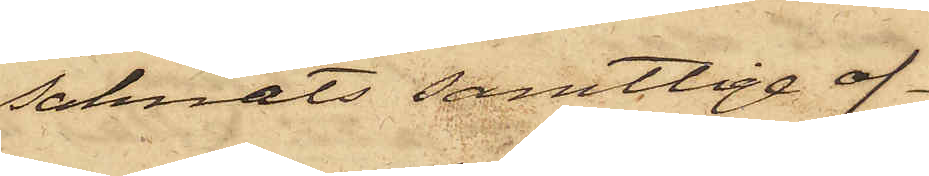saknats samtlige of¬
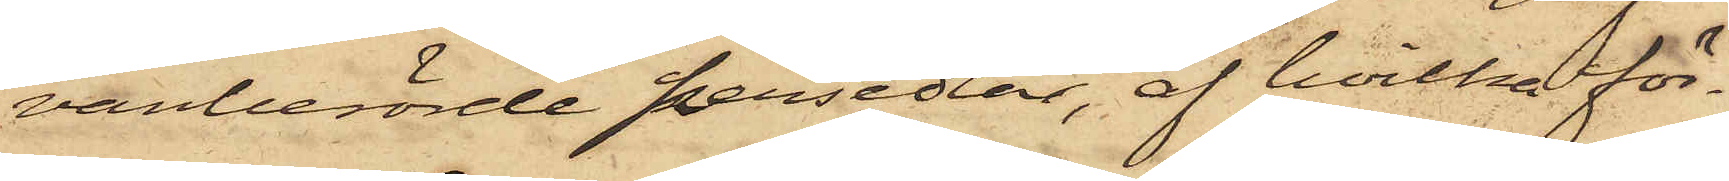vanberörde persedlar, af hvilka för¬
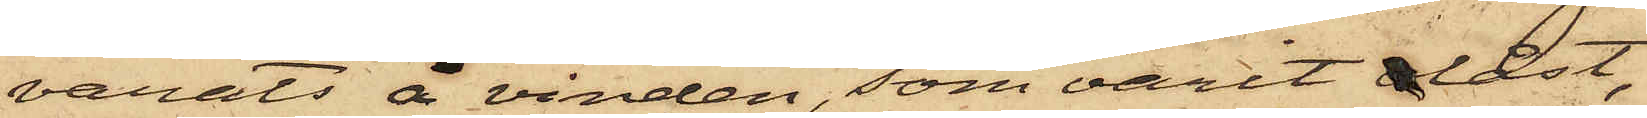varats å vinden, som varit olåst,
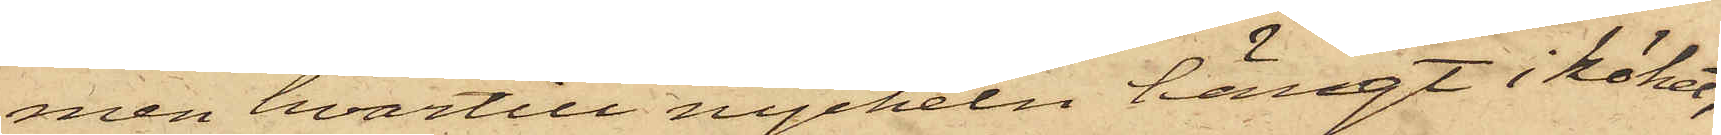men hvartill nyckeln hängt i köket,
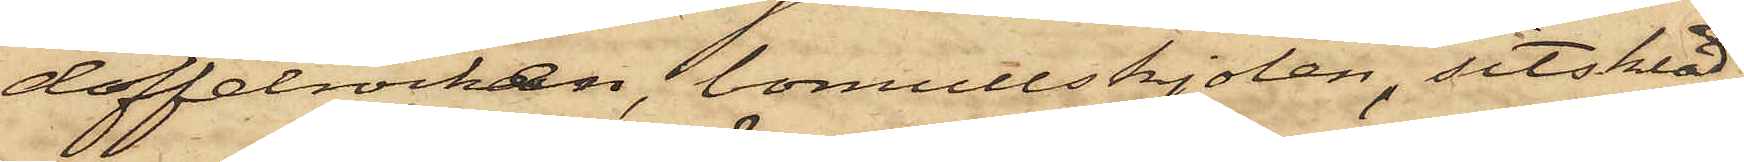doffelrocken, bomullskjolen, sitsklä¬
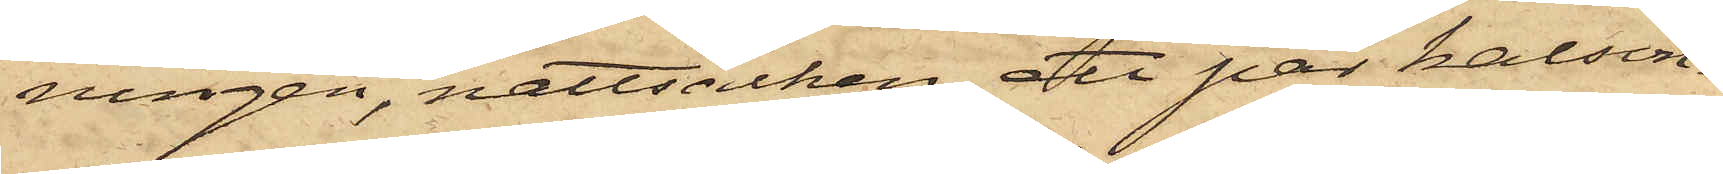ningen, nattsäcken, ett par kalson¬
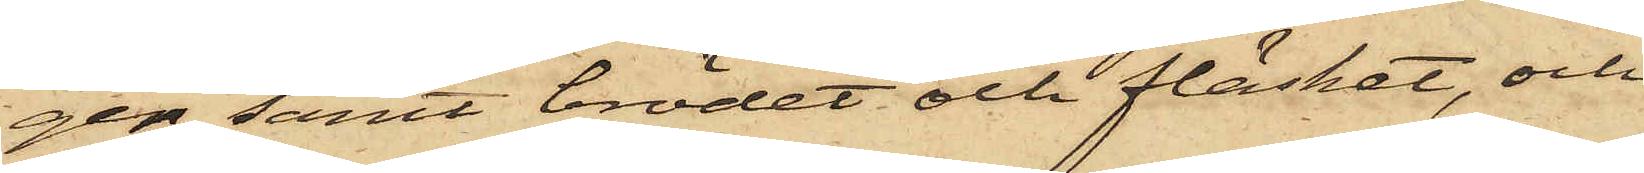ger samt brödet och fläsket, och
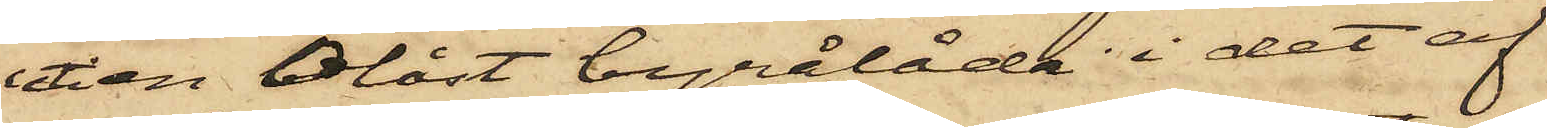uti en olåst byrålåda i det af
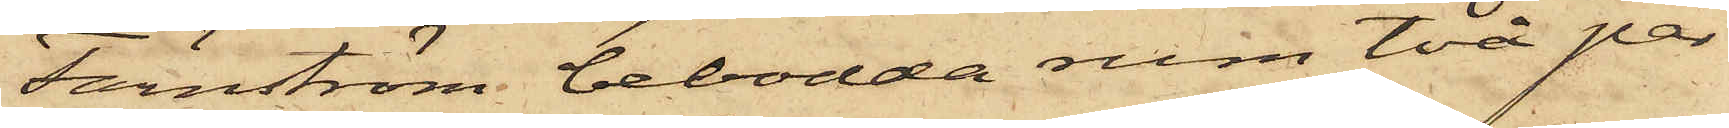Färnström bebodda rum två par
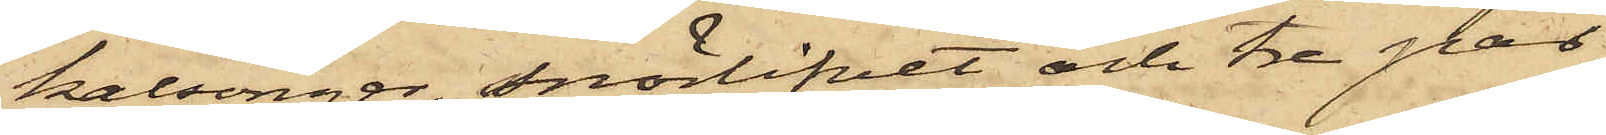kalsonger, snörlifvet och tre par
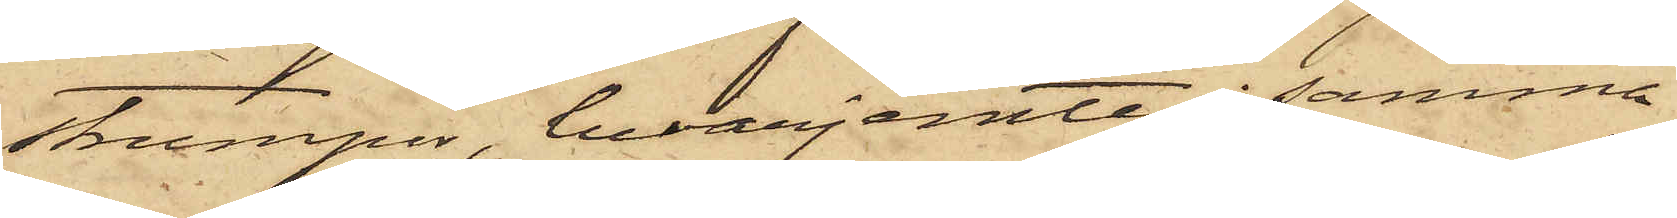strumpor, hvarjemte i samma
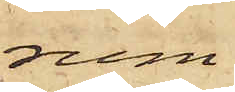rum
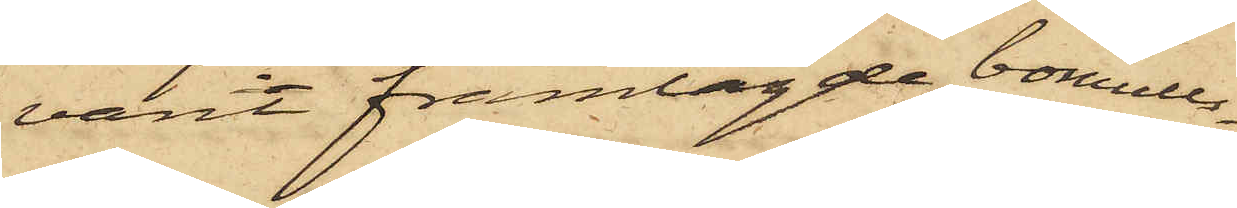varit framlagde, bomulls¬
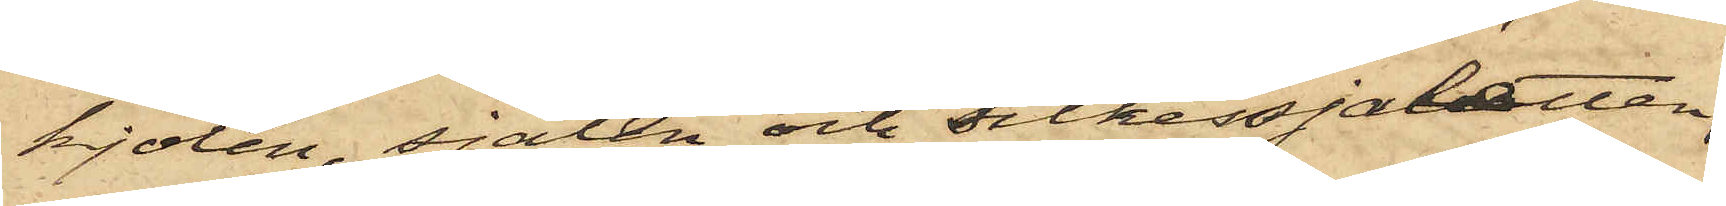kjolen, sjalen och silkessjaletten.
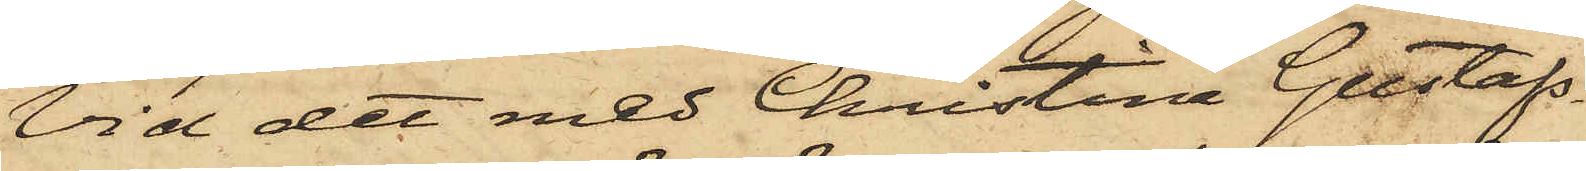Vid det med Christina Gustafs¬
